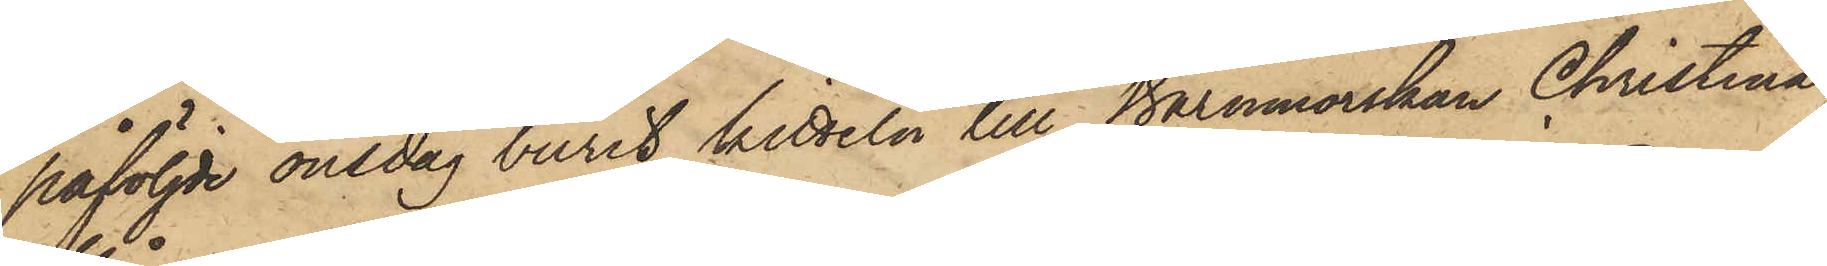påföljde onsdag burit kitteln till Barnmorskan Christina
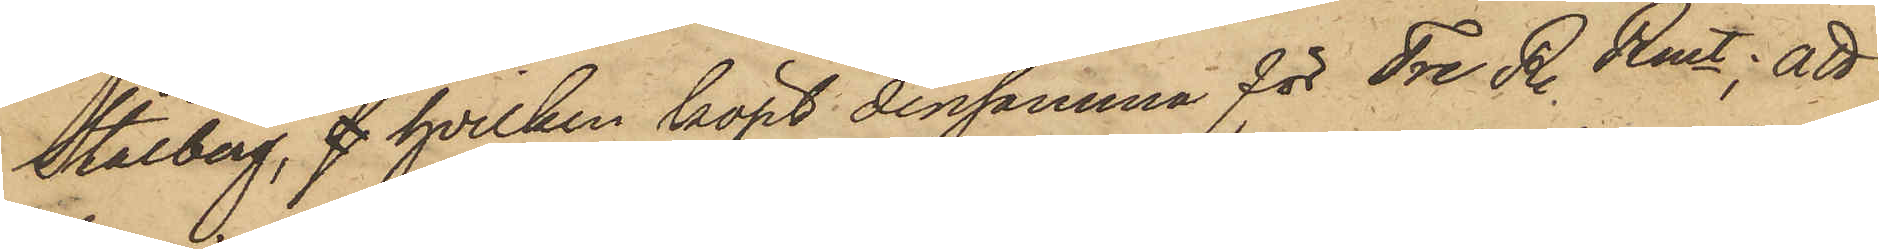Stålberg, s hvilken köpt densamma för Tre R. Rmt; att
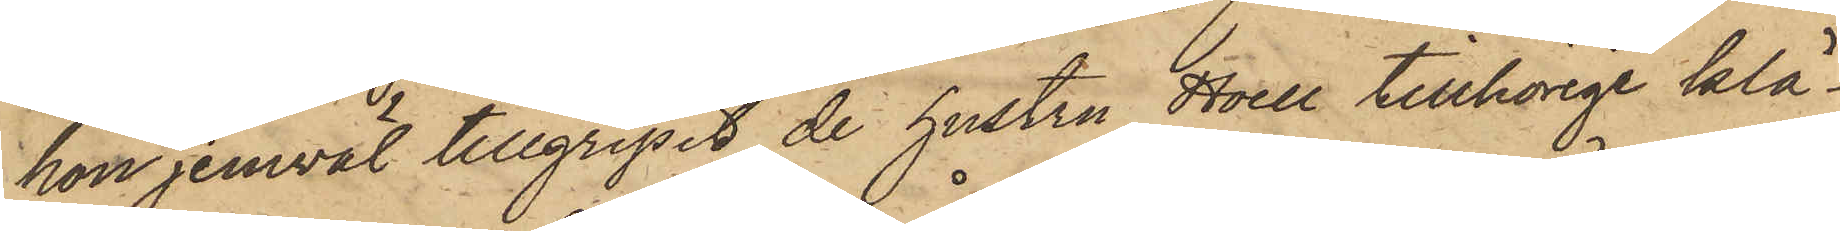hon jemväl tillgripit de hustru Hoell tillhörige klä¬
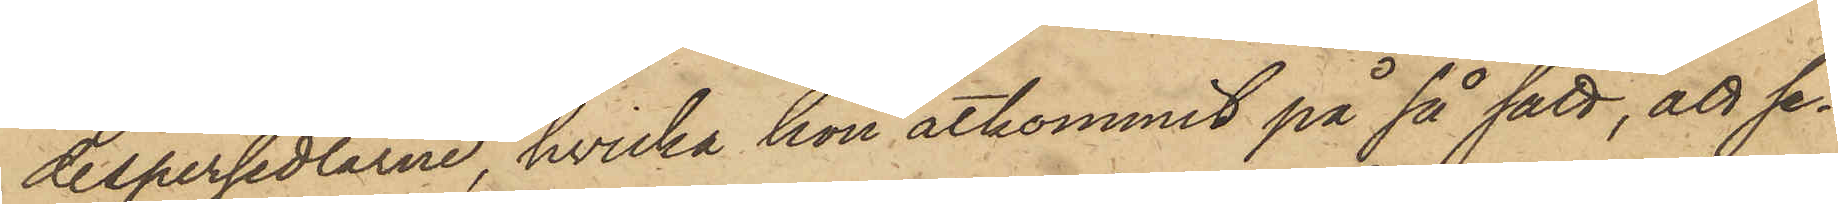despersedlarne, hvilka hon åtkommit på så sätt, att se¬
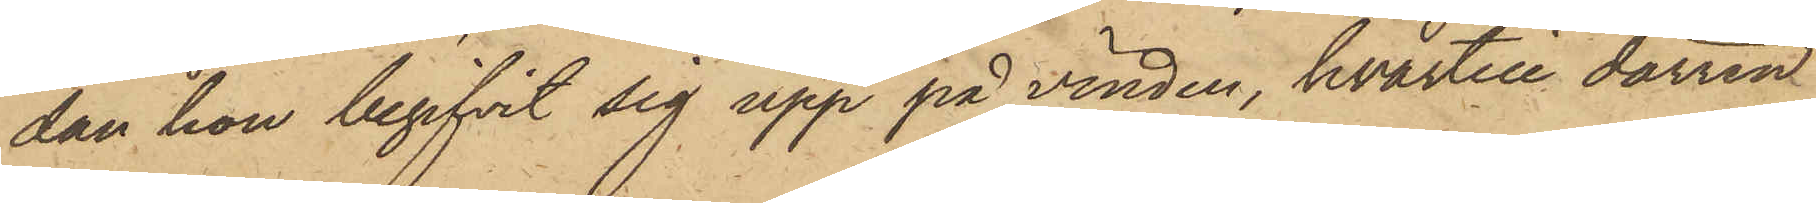dan hon begifvit sig upp på vinden, hvartill dörren
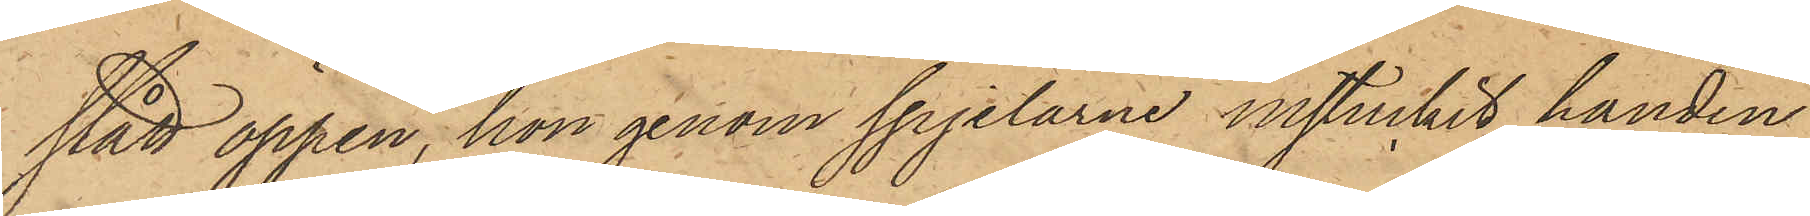stått öppen, hon genom spjelarne instuckit handen
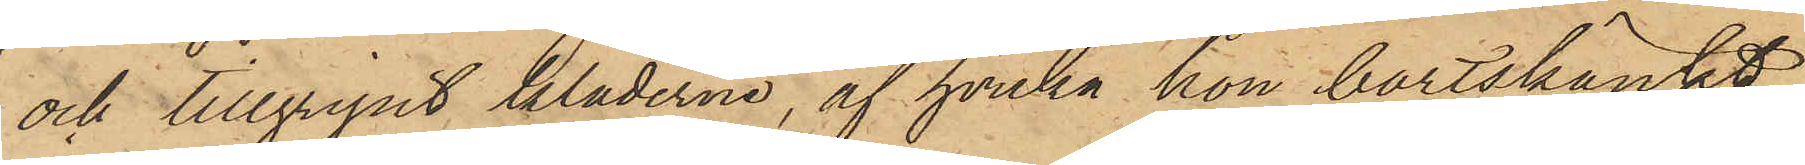och tillgripit kläderna, af hvilka hon bortskänkt
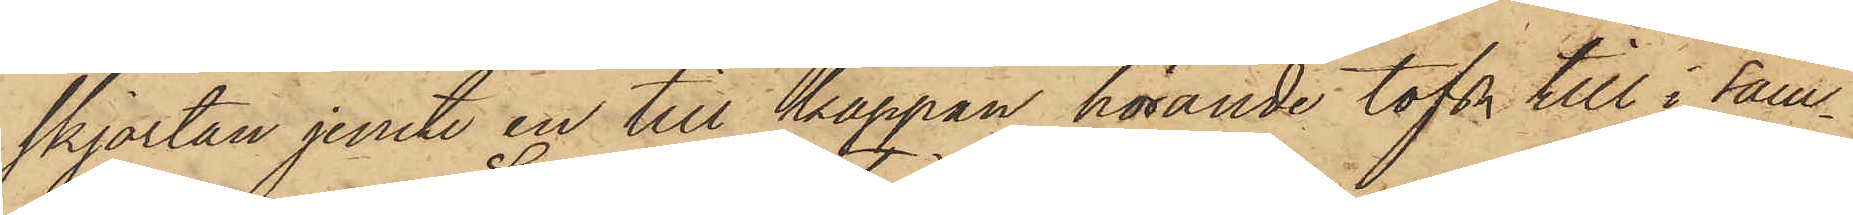skjortan jemte en till kappan hörande tofs till i sam¬
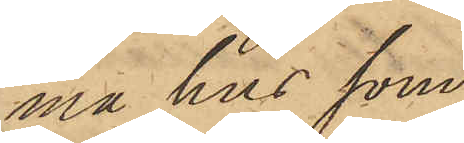ma hus som
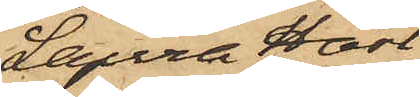Laura Hast
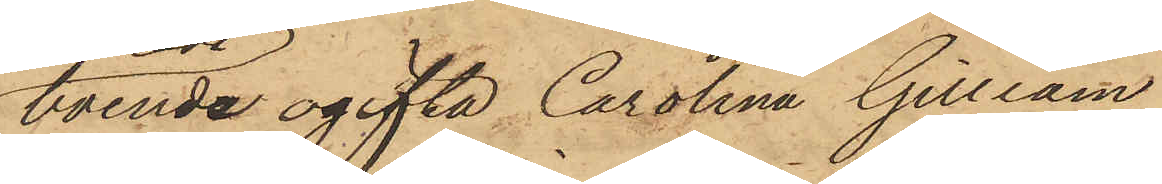boende ogifta Carolina Gilliam
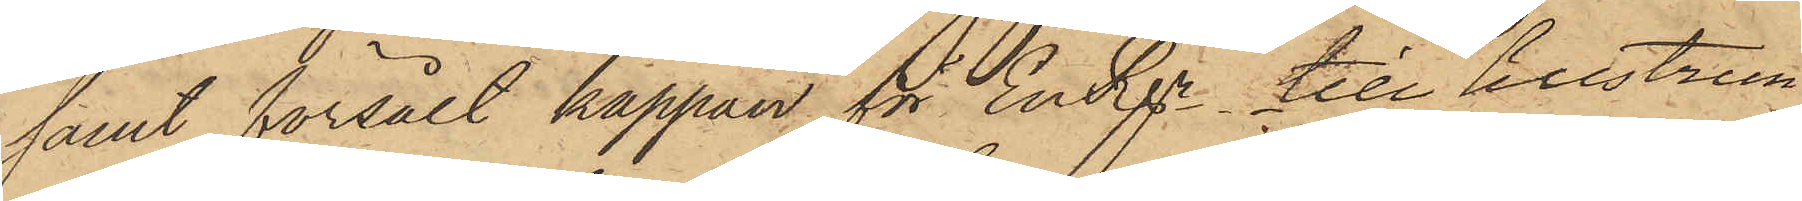samt försålt kappan för En Rgr till hustrun
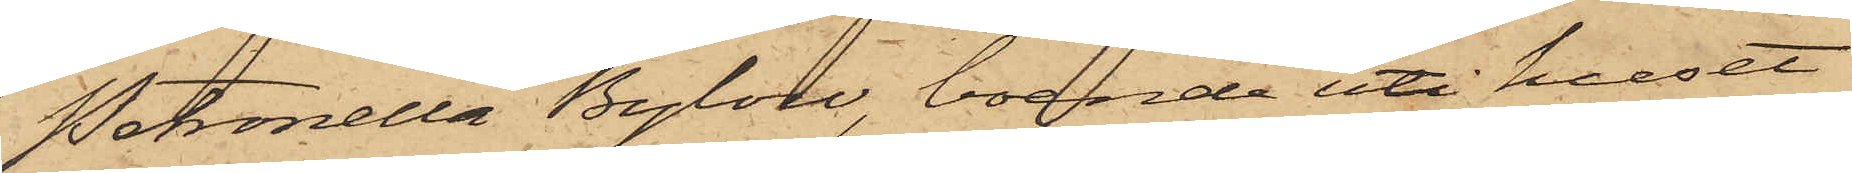Petronella Bylow, boende uti huset
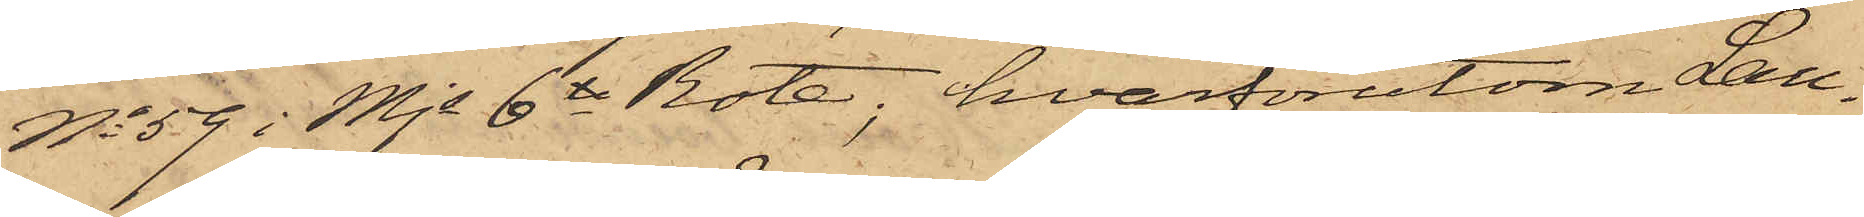No 59 i Mjs 6te Rote, hvarförutom Lau¬
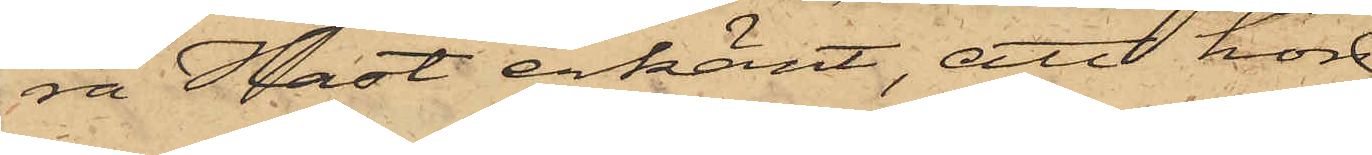ra Hast erkänt, att hon
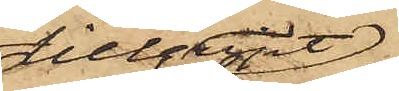tillgripit
